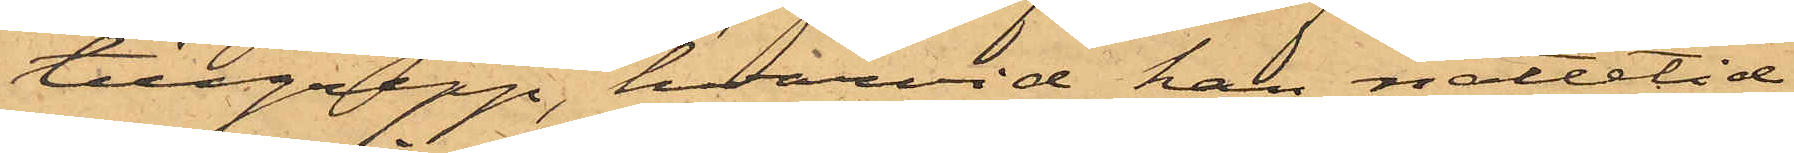tillgrepp, hvarvid han nattetid
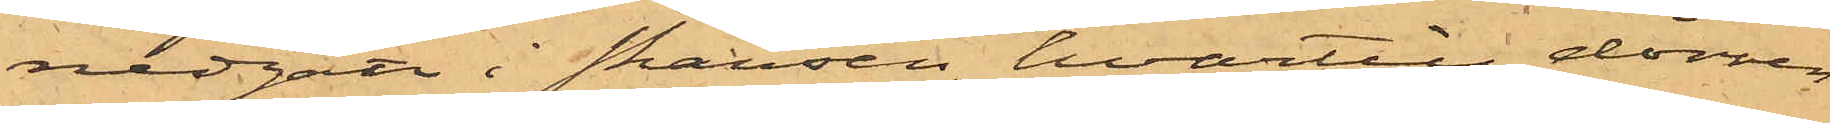nedgått i skansen, hvartill dörren
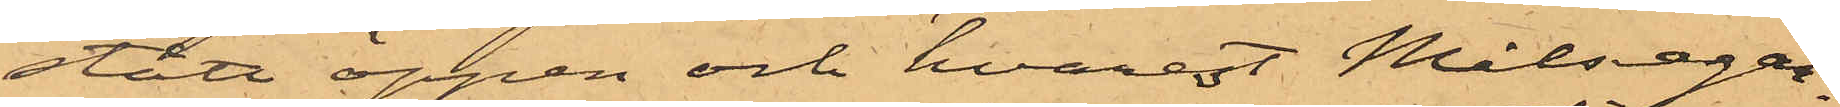stått öppen och hvarest Målsegar¬
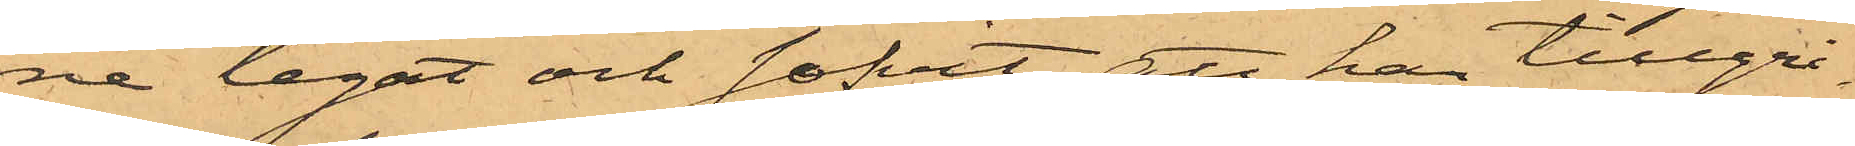ne legat och sofvit; att han tillgri¬
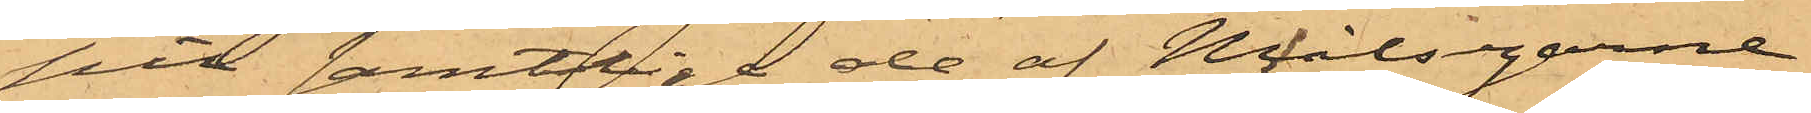pit samtlige de af Målsegarne
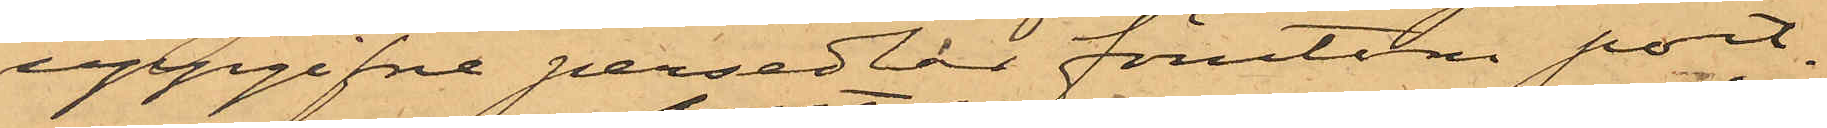uppgifne persedlar förutom port¬
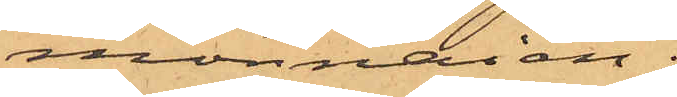monnaien;
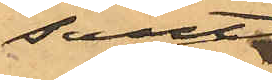samt
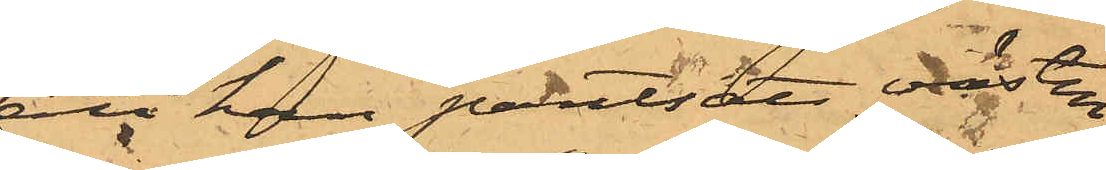att han pantsatt västen
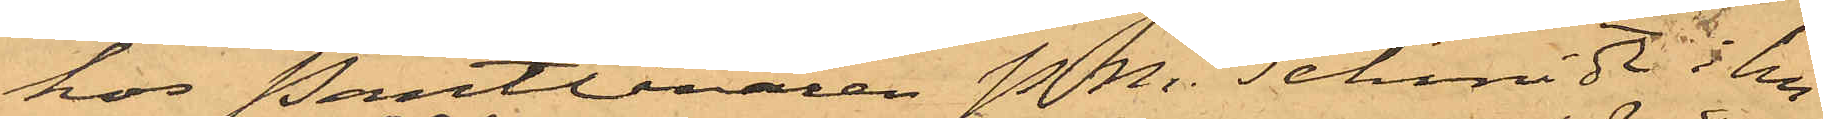hos Pantlånaren P. M. Schmidt i hu¬
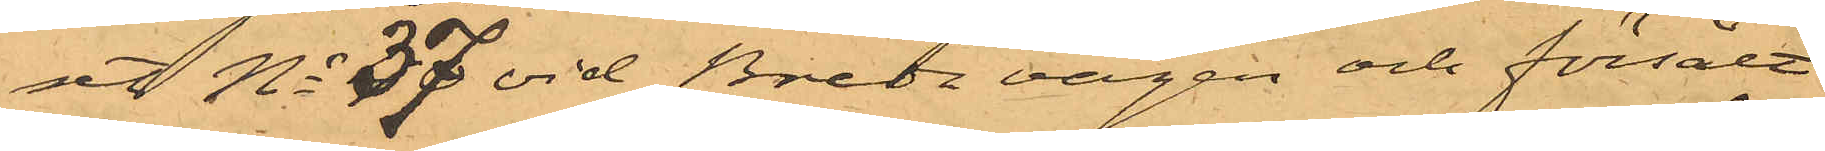set No 37 vid Breda vägen och försålt
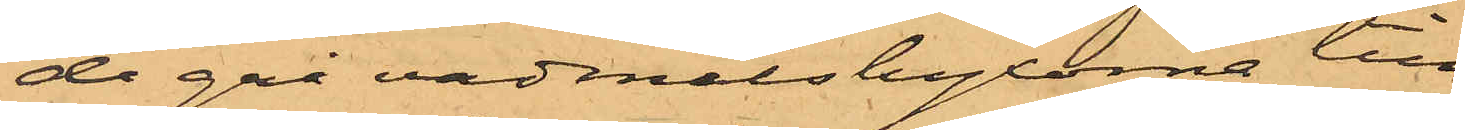de grå vadmalsbyxorna till
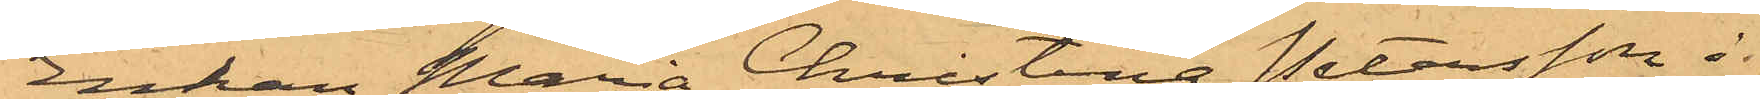Enkan Maria Christina Petersson i
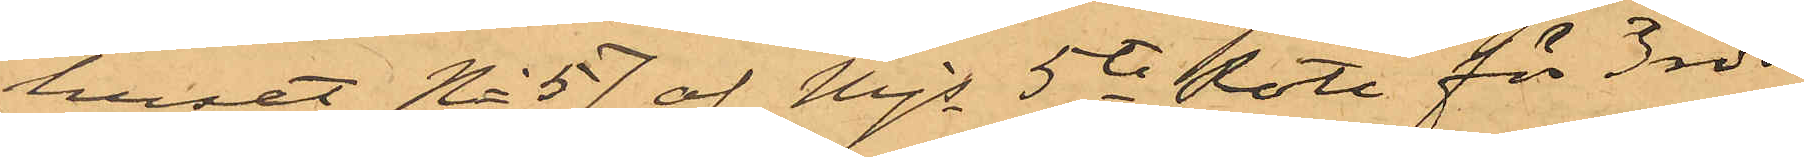huset No 57 af Mjs 5te Rote för 3 rdr
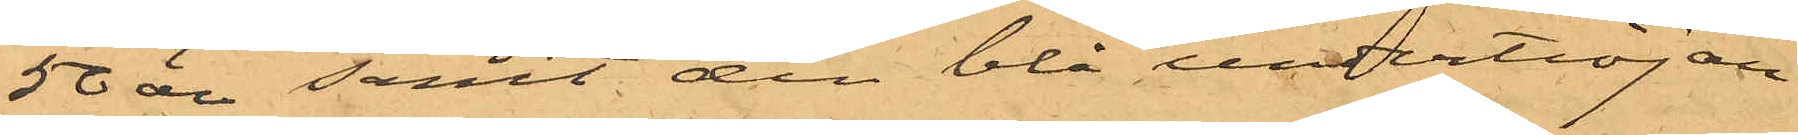50 öre samt den blå undertröjan
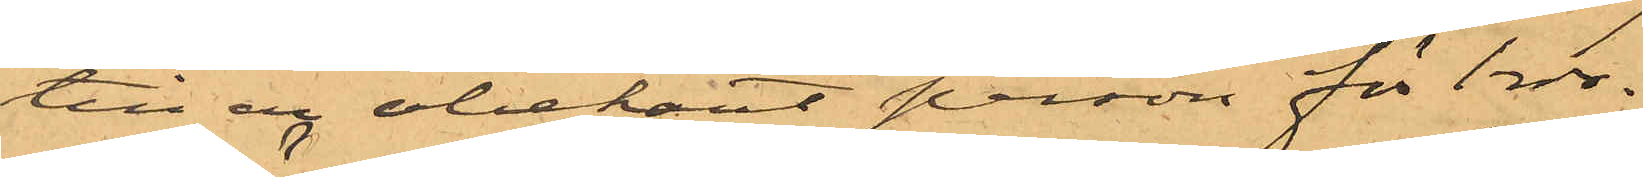till en obekant person för 1 rdr.
